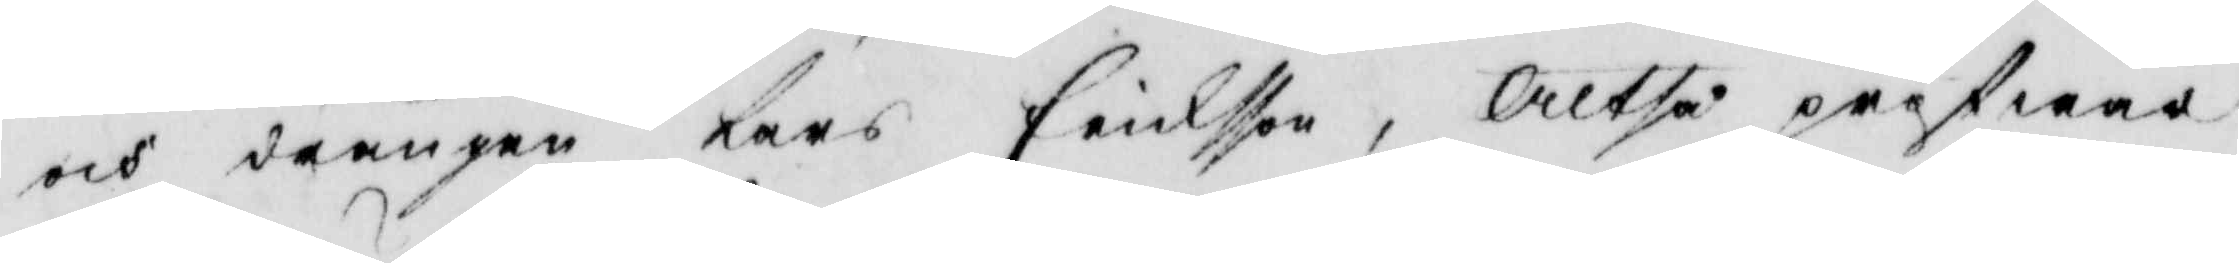och drängen Lars Ericksson, Altså pröfwar
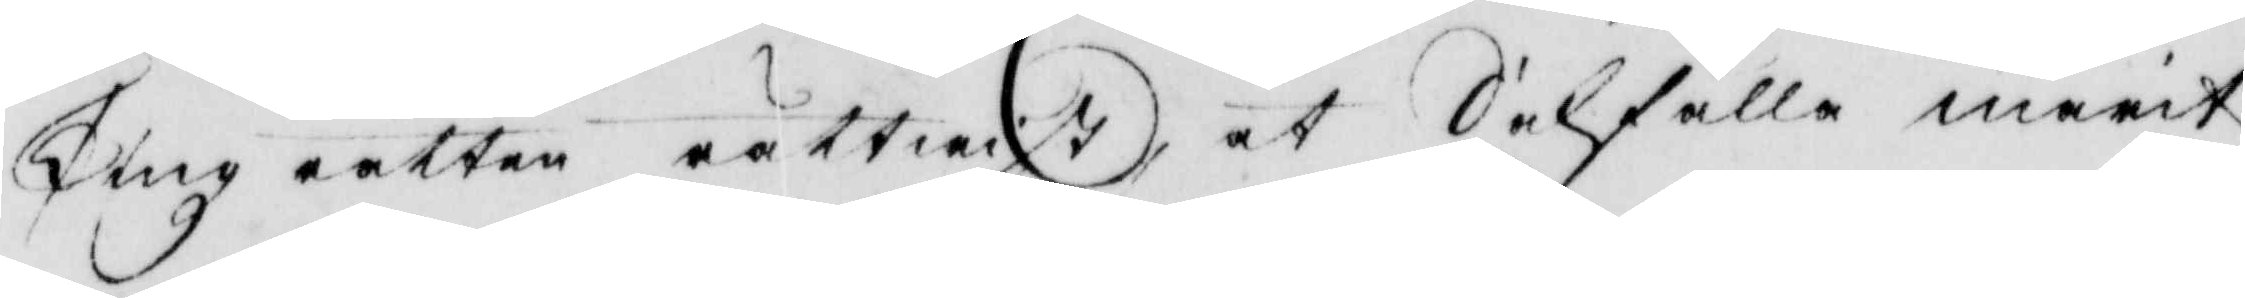Tingz rätten rättwist at Sakfälla marit
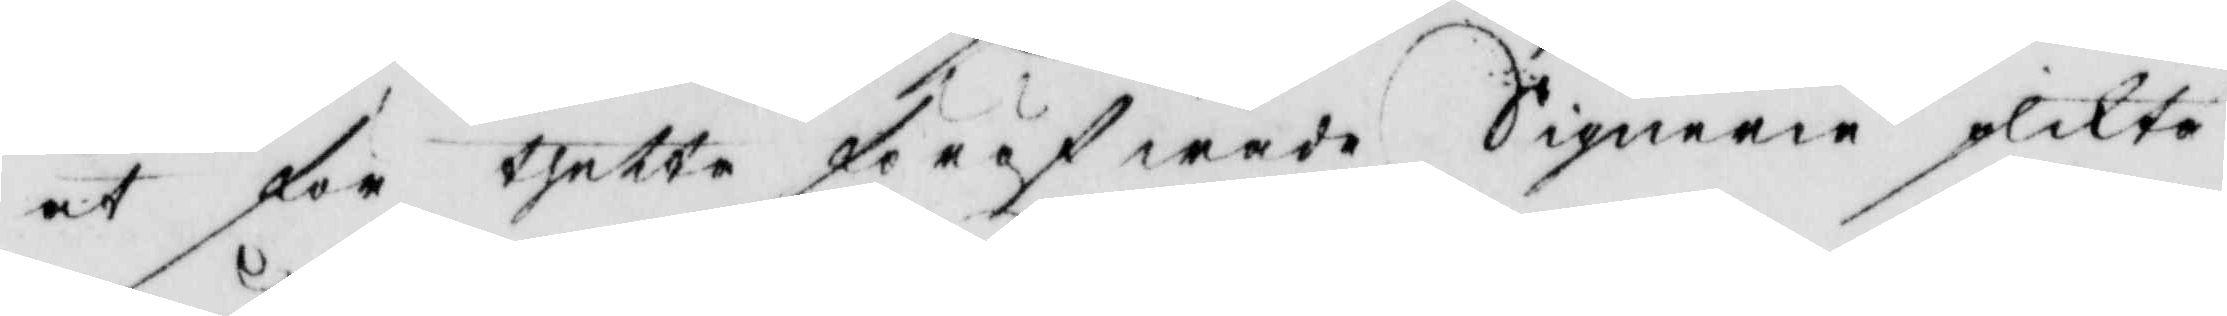at för thetta föröfwade Signerie plikta
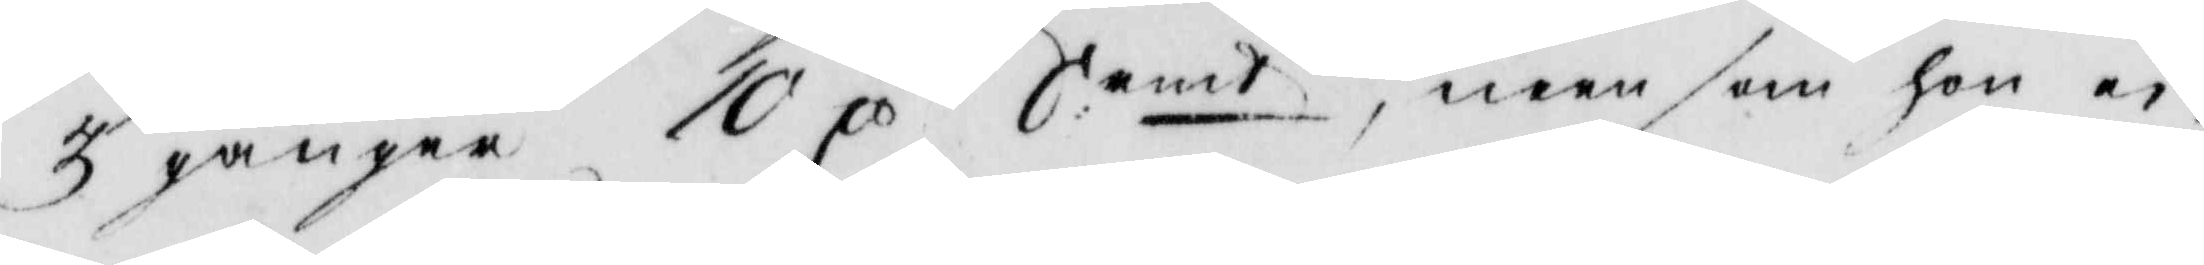3 gånger 10 C S:rmt, men som hon ei
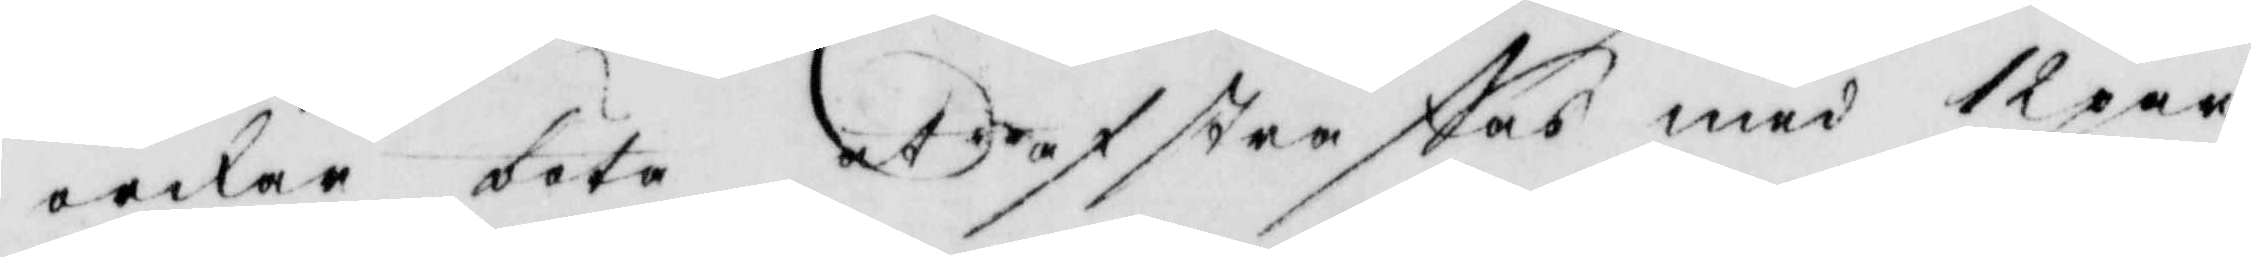orkar böta afstraffas med 12 par
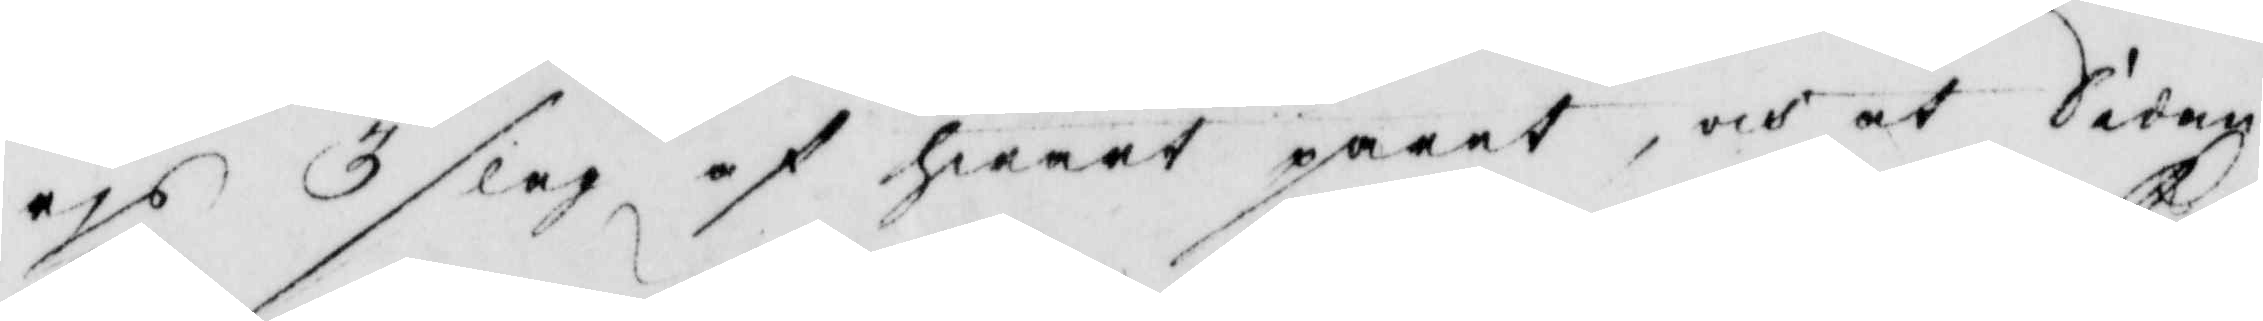ris 3 slag af hwart paret, och at Södag
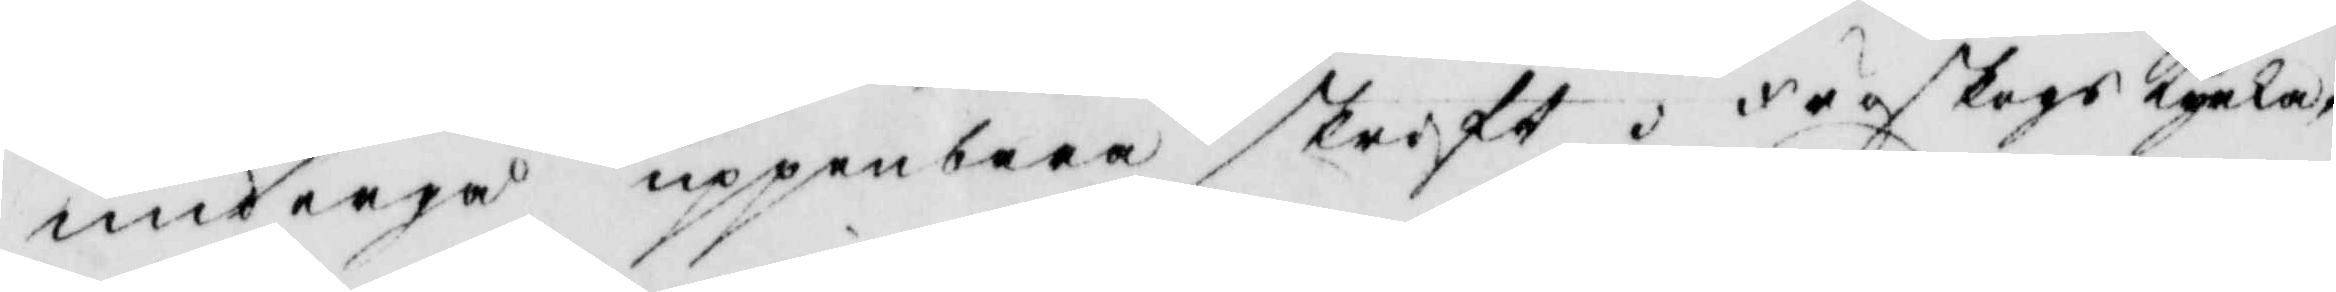undergå uppenbara skrift i Fröskogs Kyrka,
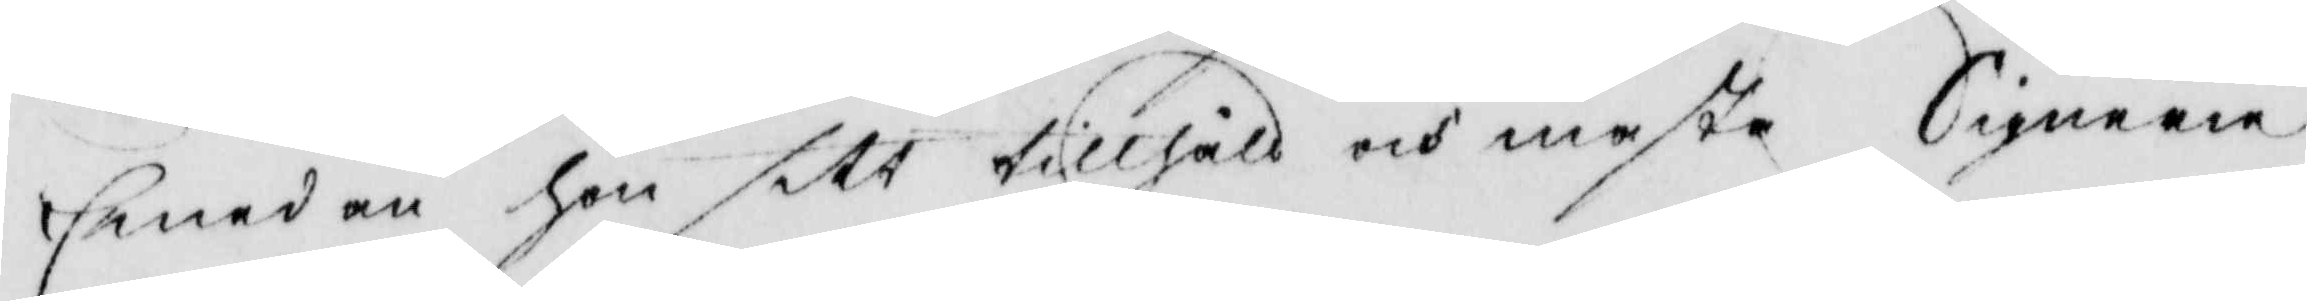Emedan hon sitt tillhåll och mesta Signerie
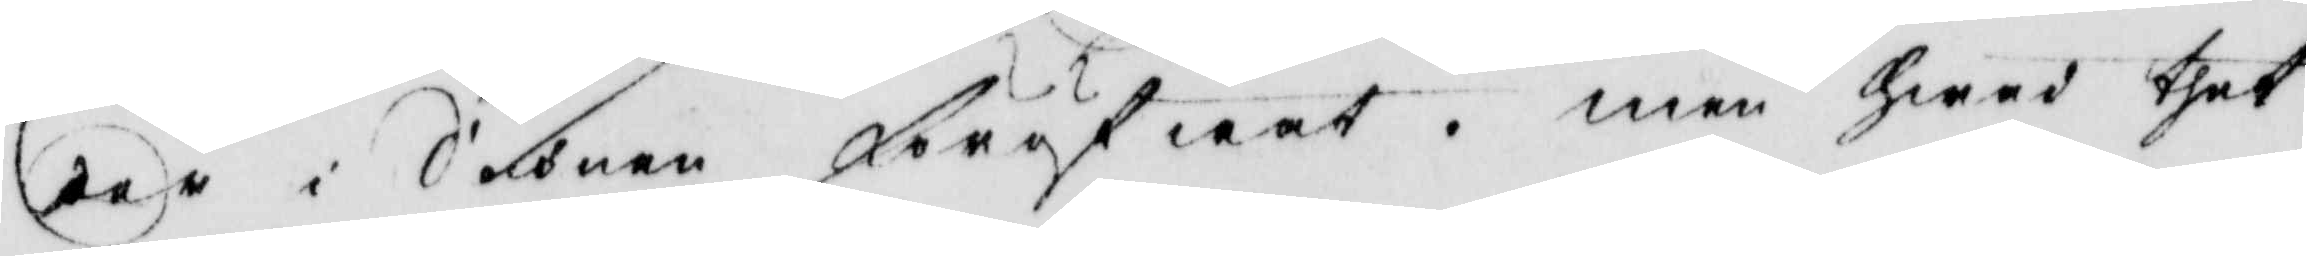der i Sochnen Föröfwat. men hwad thet
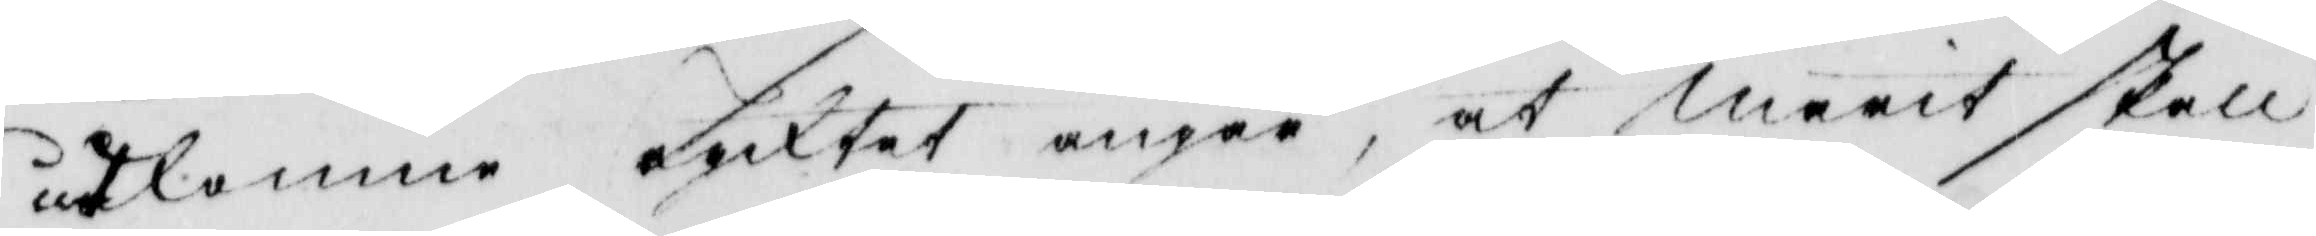utkomna rycktet angå, at marit skall
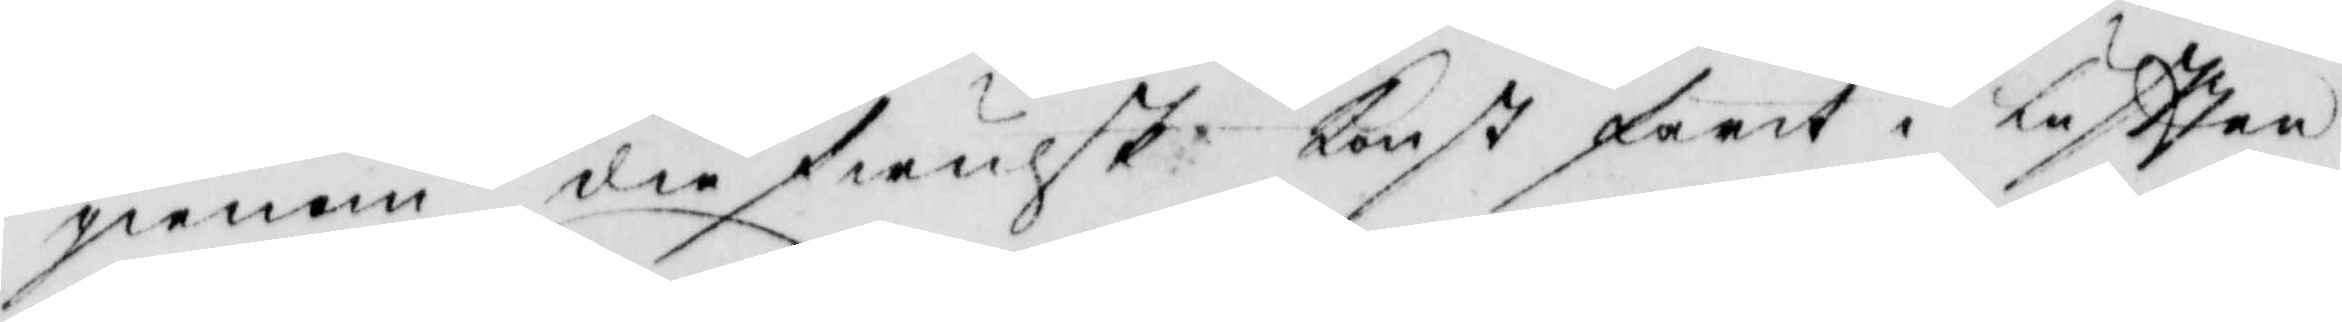gienom diefwulsk Konst farit i Luftten
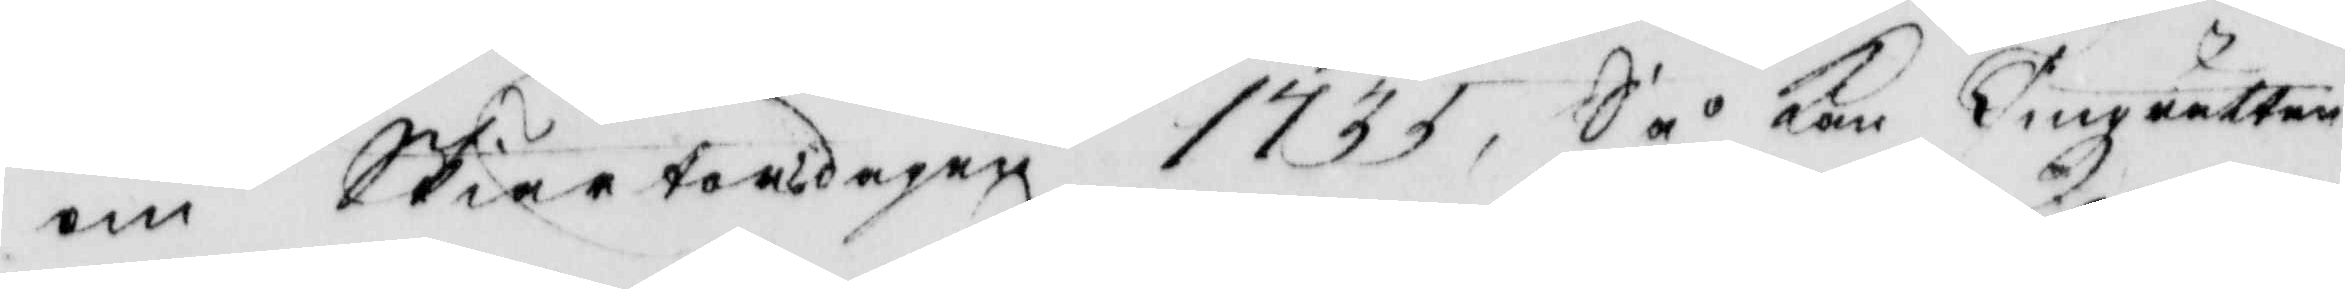om Skiörtorsdagen 1733, Så Kan Tingzrätten
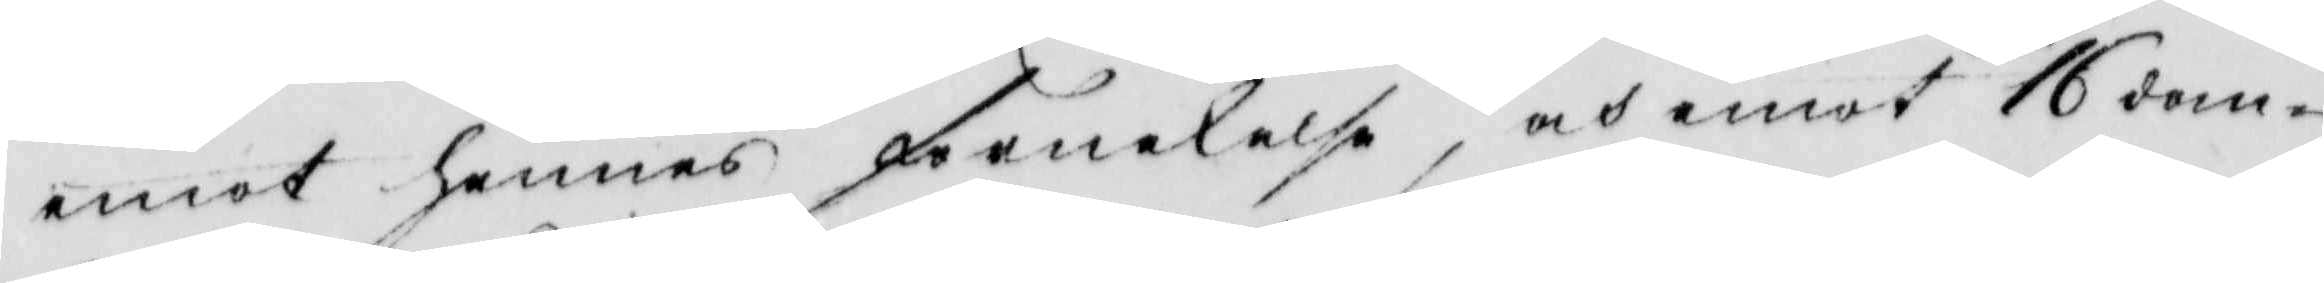emot hennes förnekelse, och emot 16 dom.
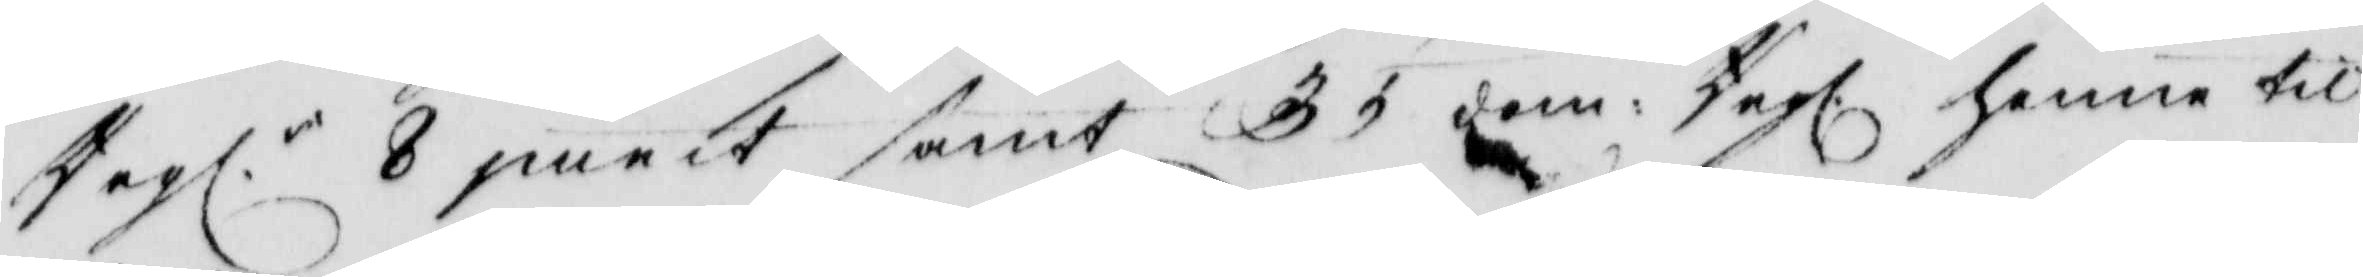Regl. 8 punct samt 35 dom: Regl. henne til
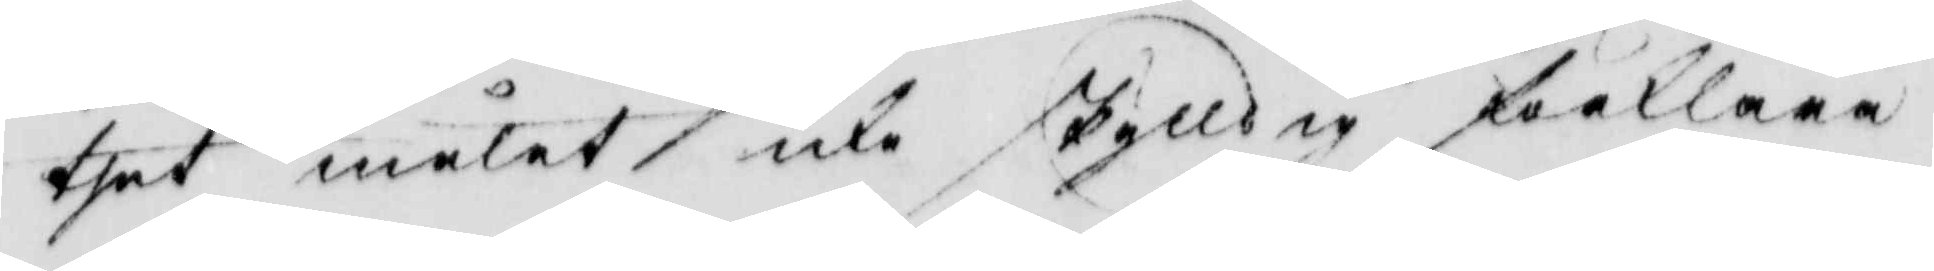thet målet icke skylldig förklara.
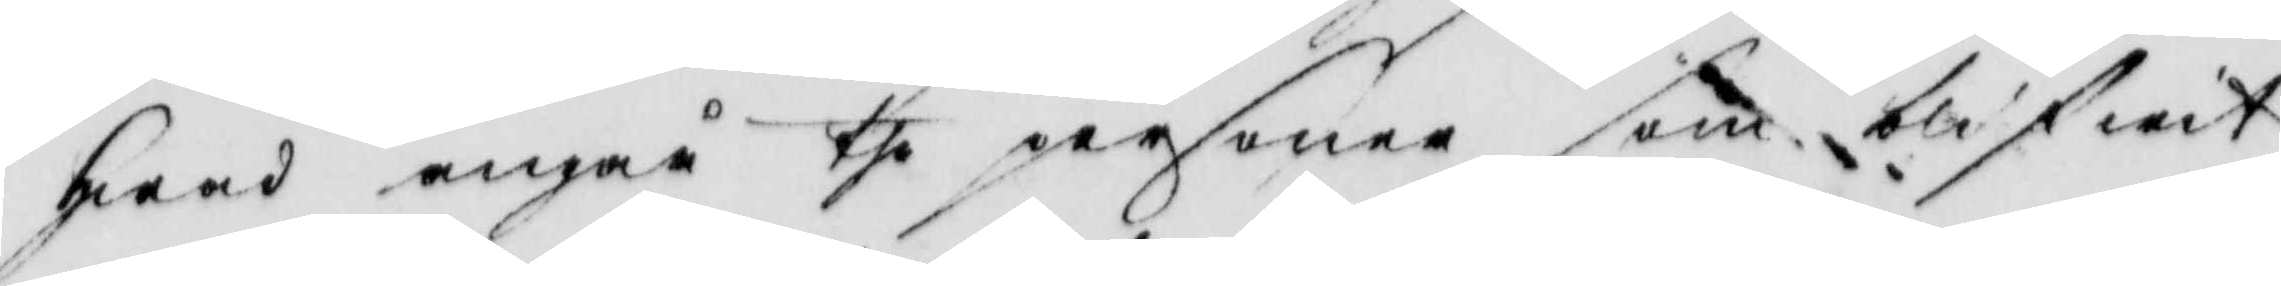hwad angår the personer som blifwit
